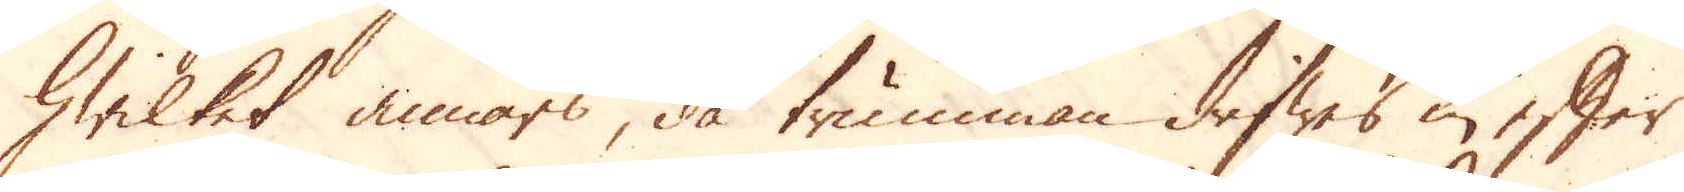hwilket annars, då trumman drifwes in efter
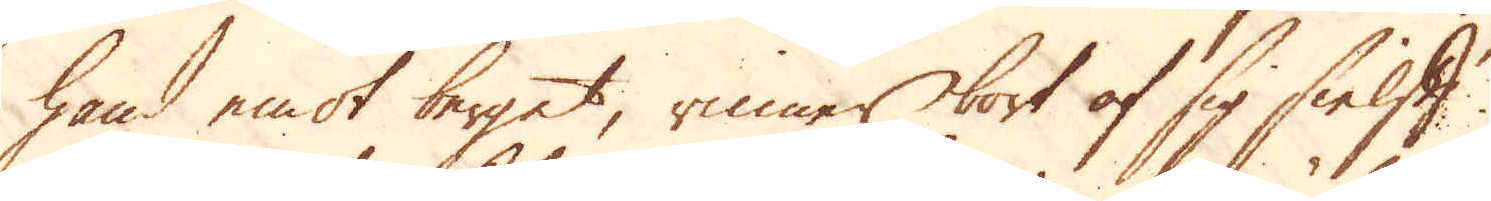hand emot berget, rinner bort af sig sielft.
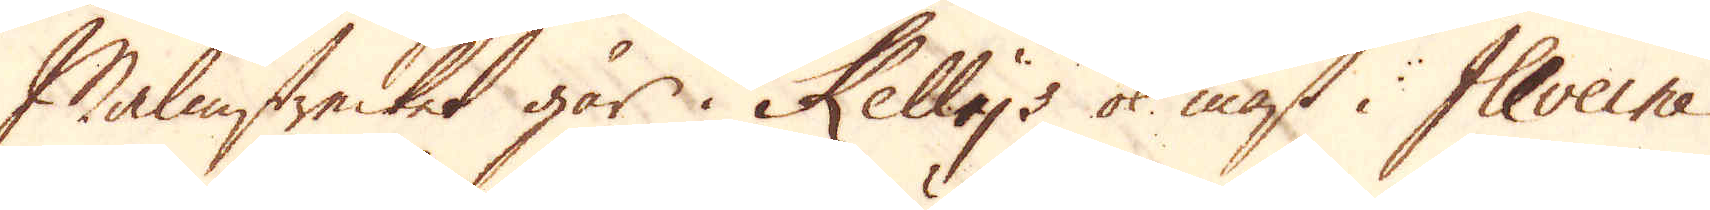Malmstrecket går i Kelly's ok mäst i Illveine
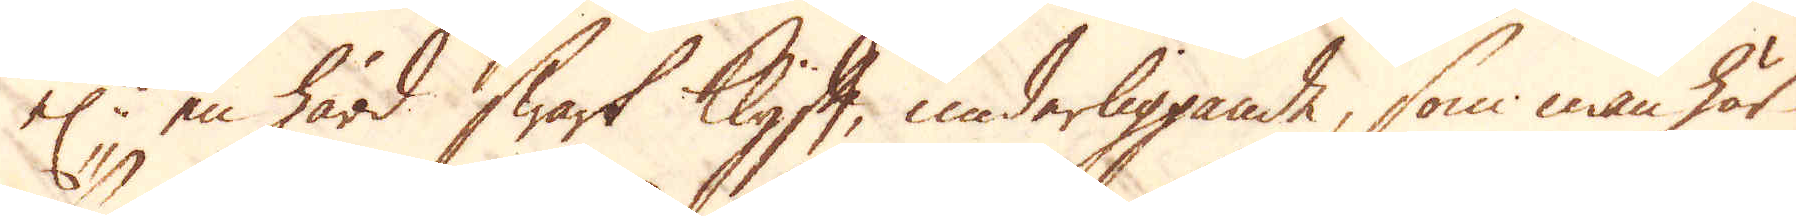el:r en hård swart Klyft, underliggande, som man här
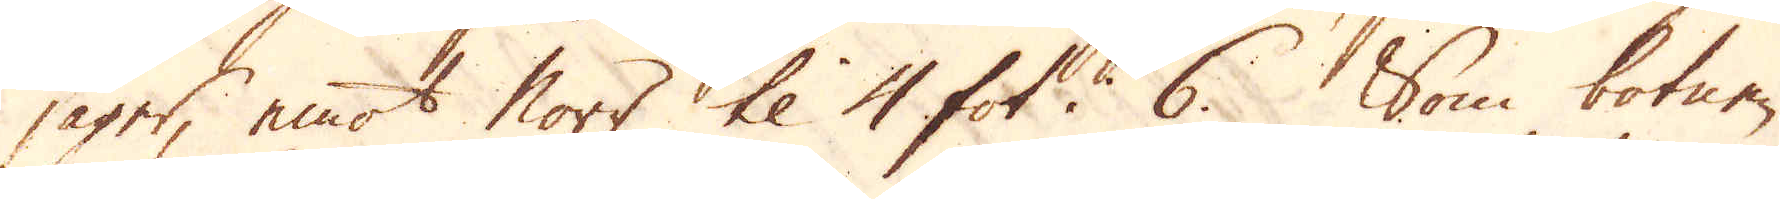säger, emot Norr til 4 fot i 6. Som botnen
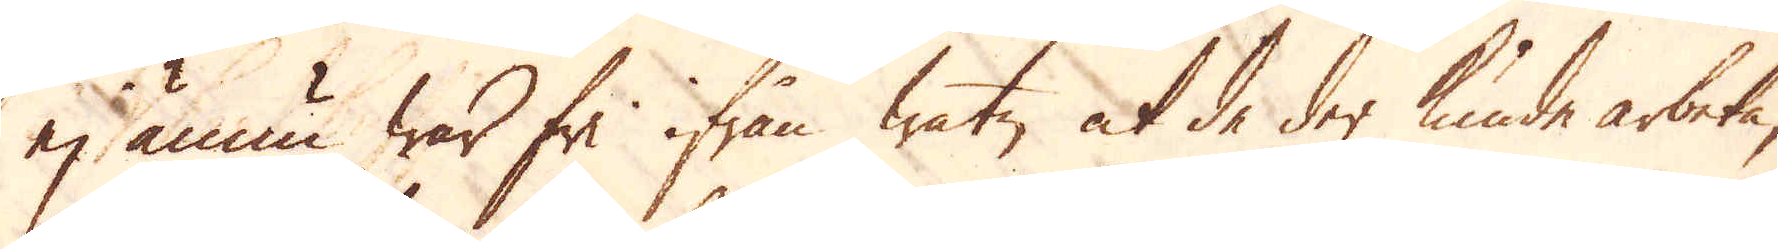ej ännu war fri ifrån watn at de der kunde arbeta,
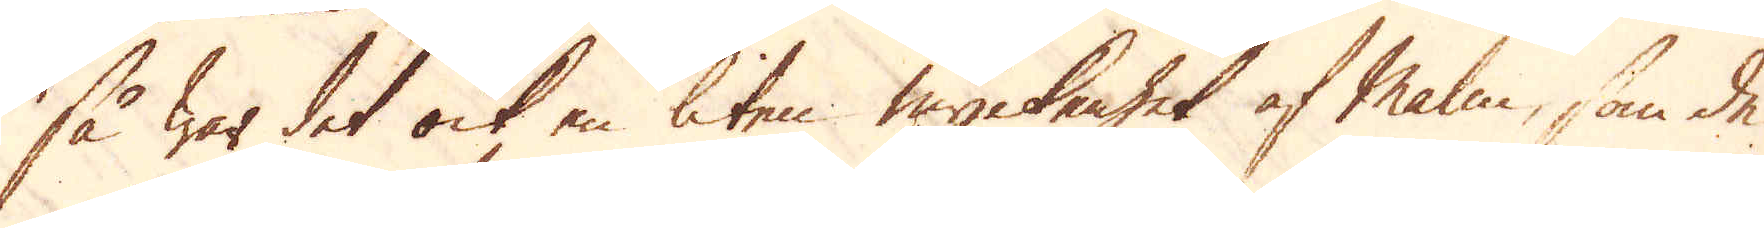så war det ock en liten myckenhet af Malm, som de
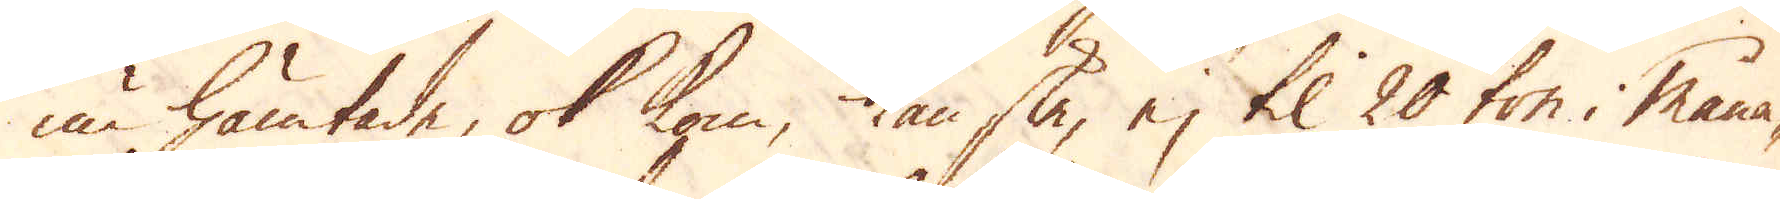nu hämtade, ok kom, kanske, ej til 20 ton måna-
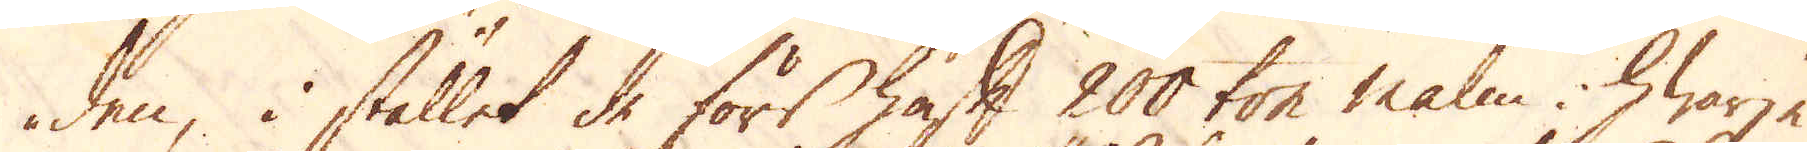den, i stället de för haft 200 ton malm i hwarje
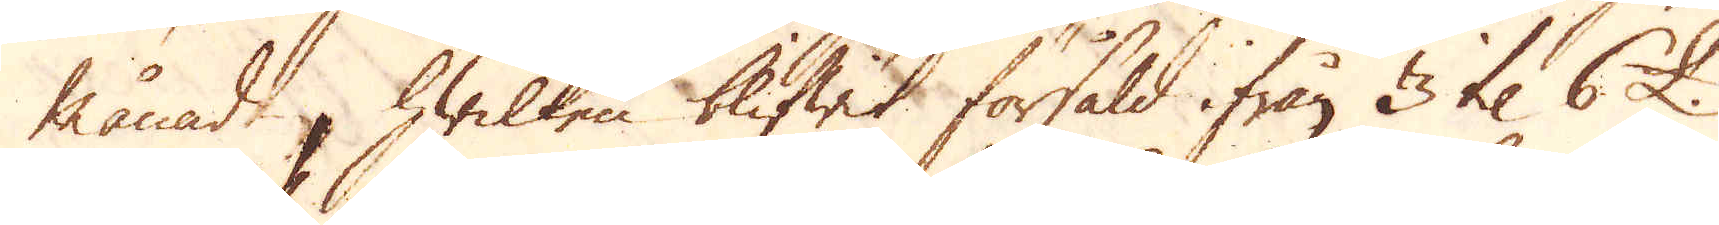månad, hwilken blifwit försåld ifrån 3 til 6 £.
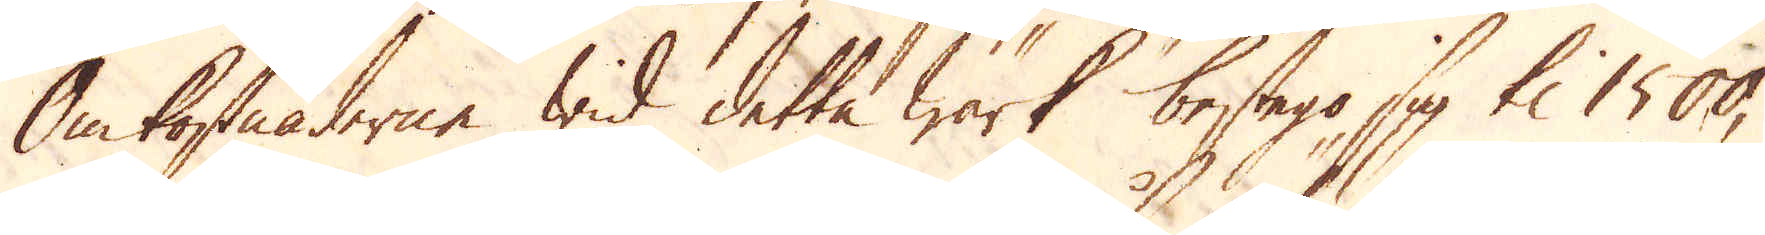Omkostnaderne wid detta Wärk bestego sig til 1500,
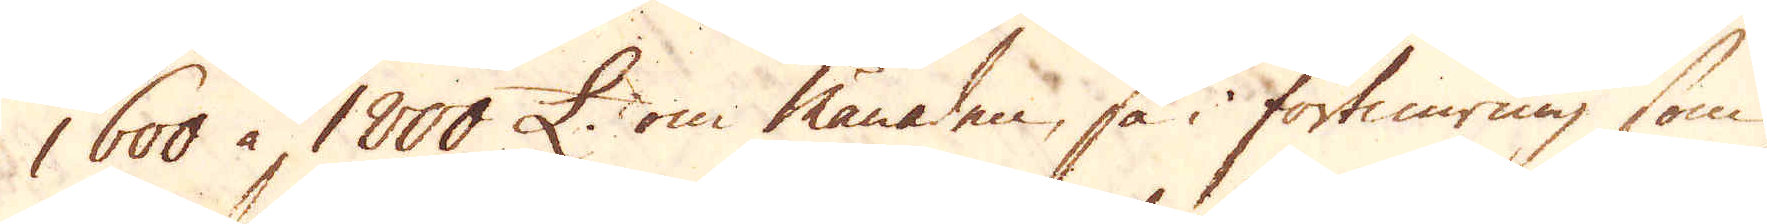1600 à 1800 £ om månaden, så i förtimring som
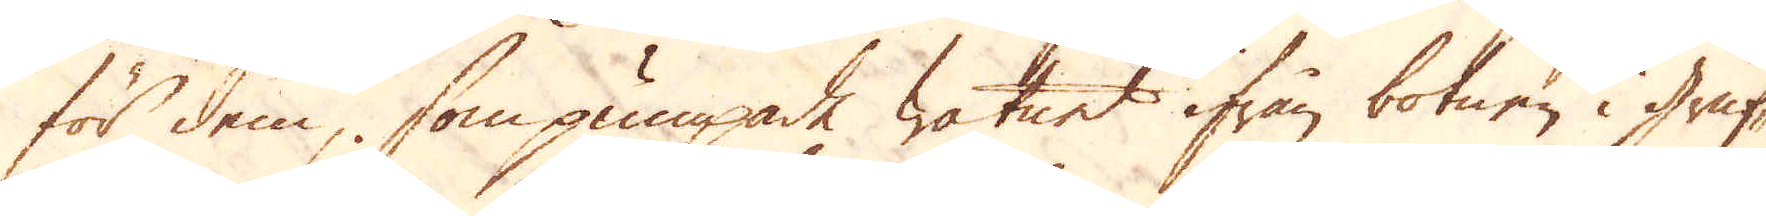för dem, som pumpade watnet ifrån botnen i gruf-
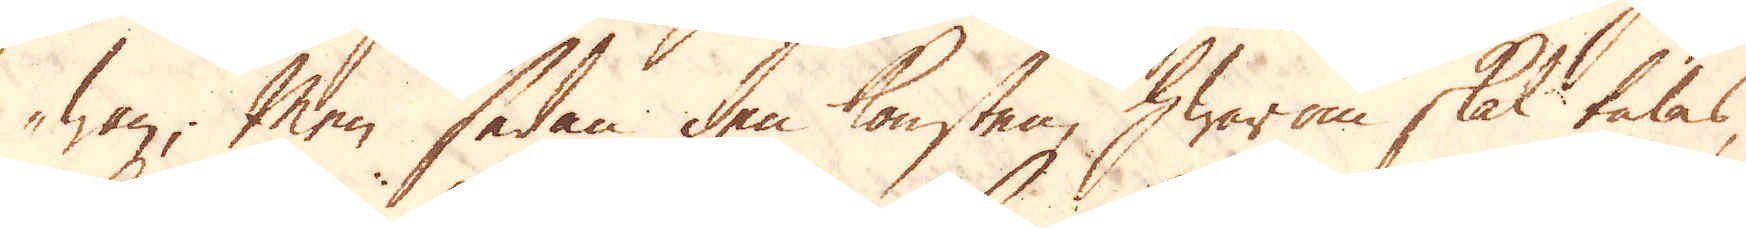wan; Men sedan den konsten, hwar om skal talas,
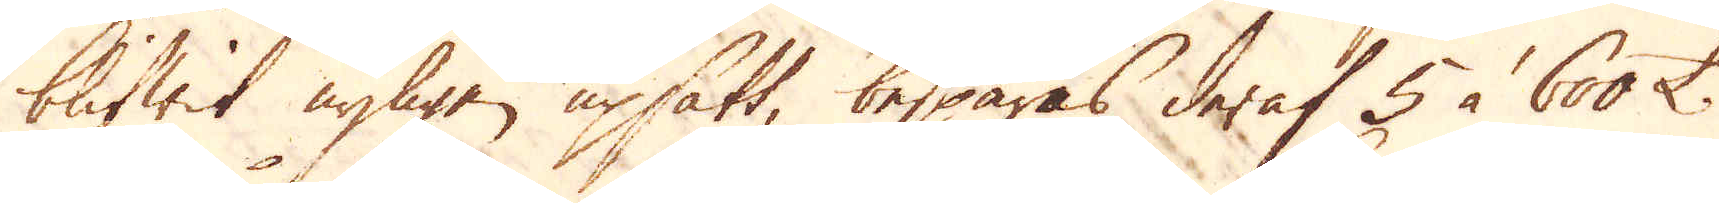blifwit nyligen upsatt, besparas deraf 5 à 600 £.
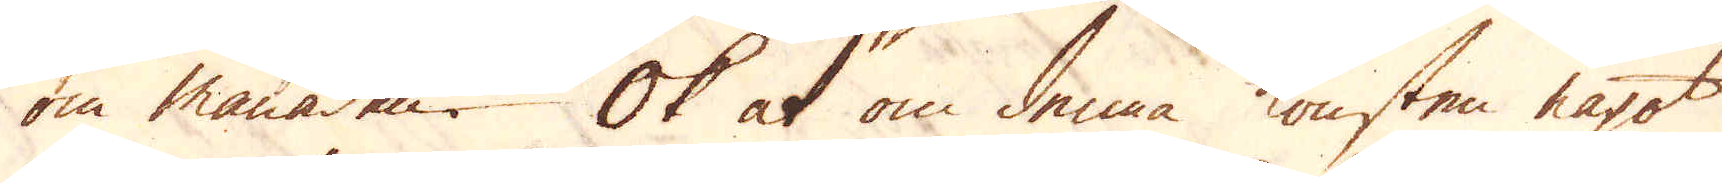om månaden. Ok at om denna konsten något
